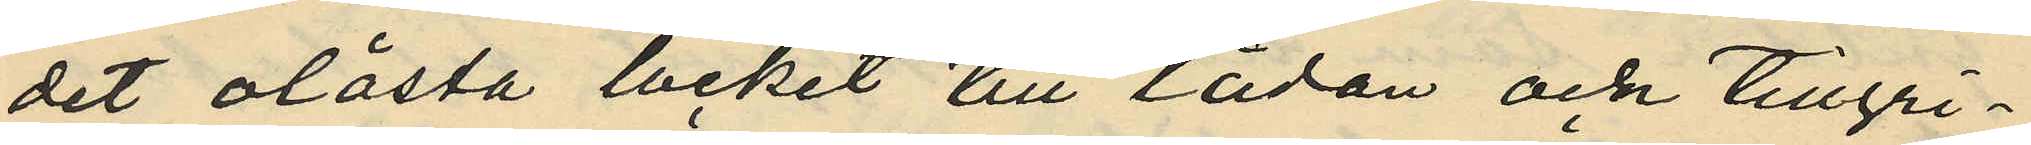det olåsta locket till lådan och tillgri¬
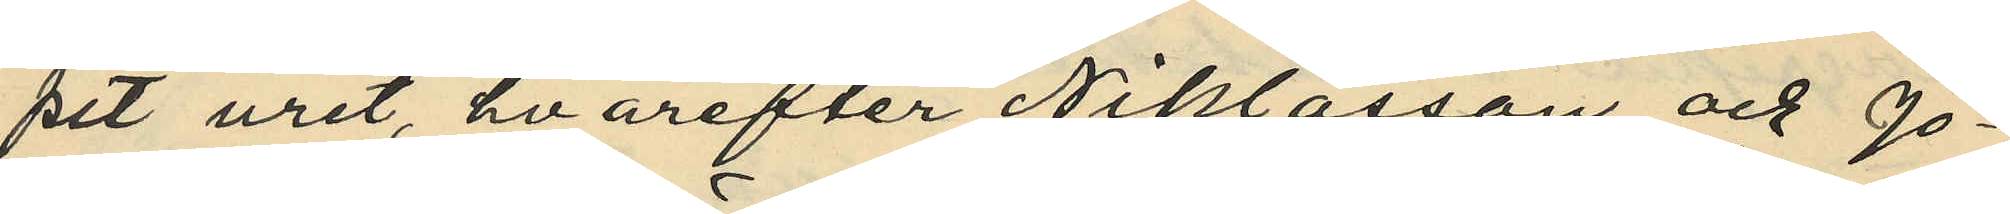pit uret, hvarefter Niklasson och Jo¬
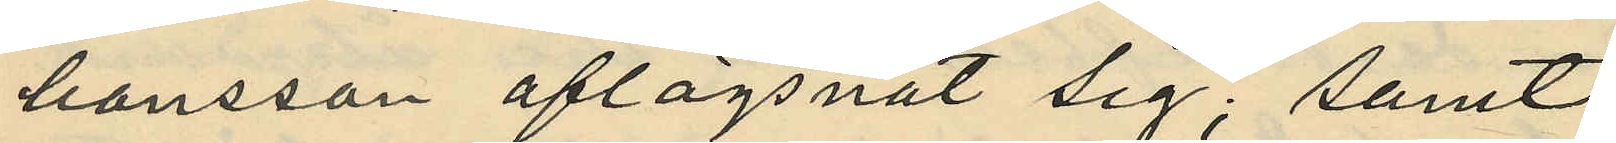hansson aflägsnat sig; samt
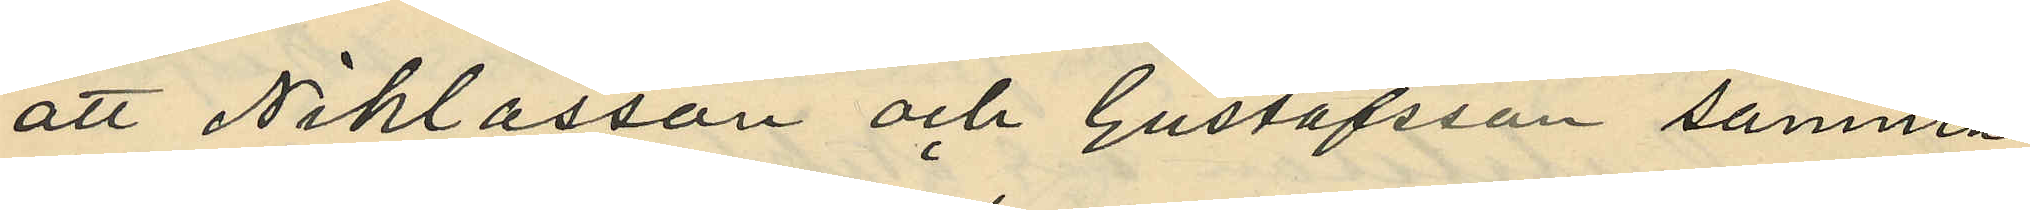att Niklasson och Gustafsson samma
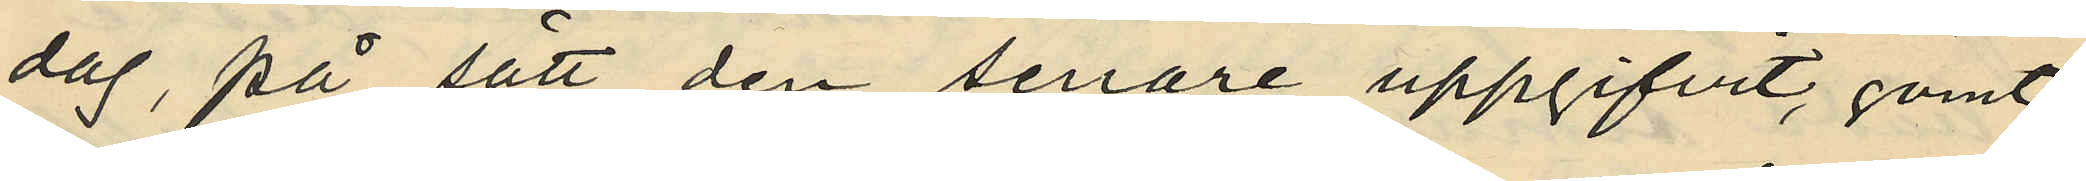dag, på sätt den senare uppgifvit, gömt
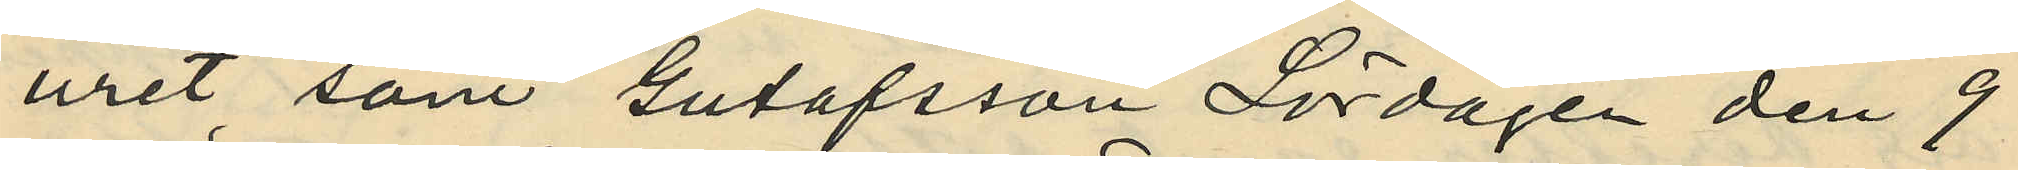uret som Gutafsson Lördagen den 9
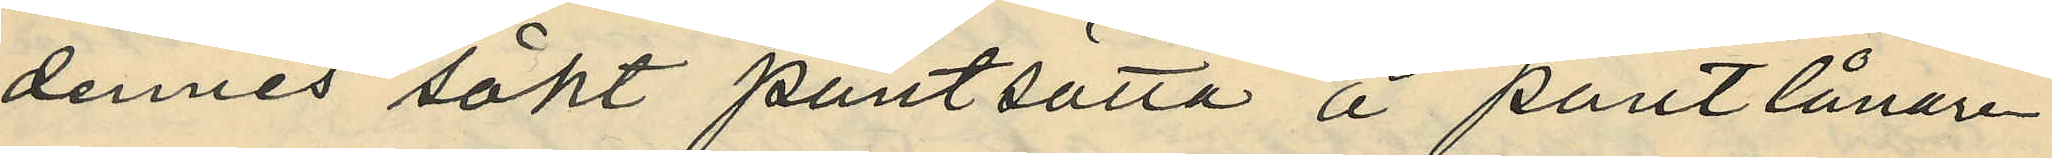dennes sökt pantsatta å pantlånare
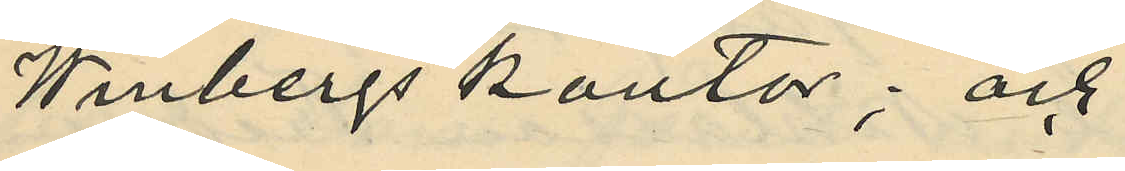Winbergs kontor; och
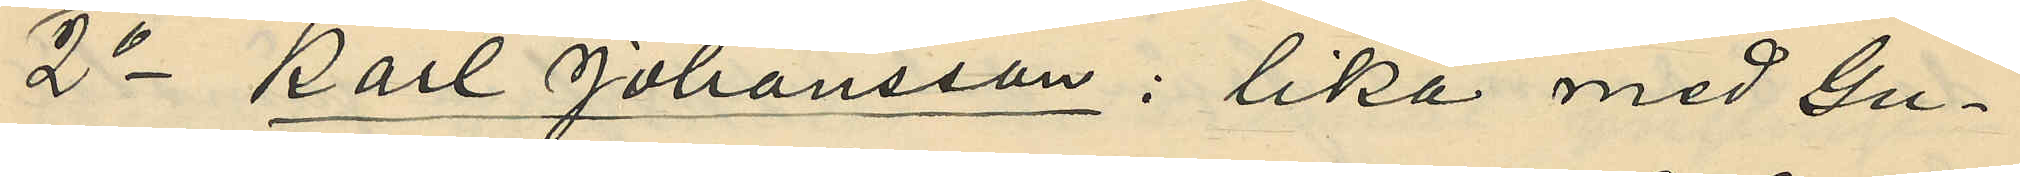2o Karl Johansson: lika med Gu¬
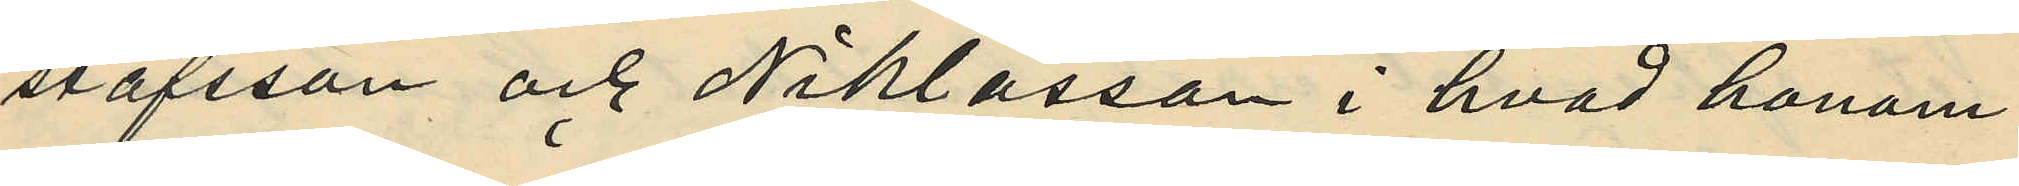stafsson och Niklasson i hvad honom
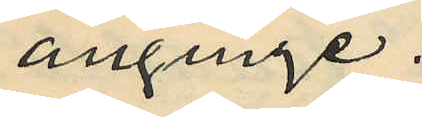anginge.
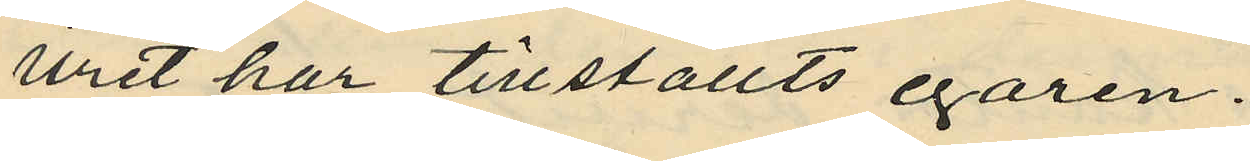Uret har tillställts egaren.
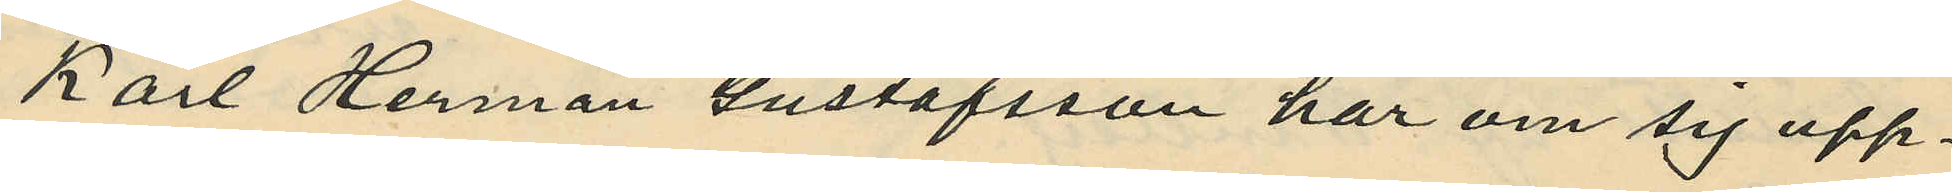Karl Herman Gustafsson har om sig upp¬
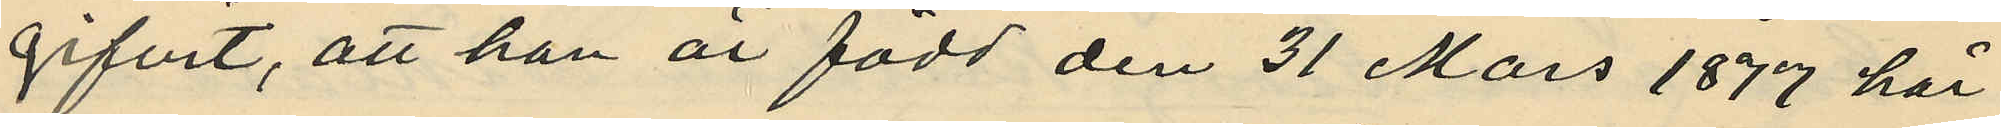gifvit, att han är född den 31 Mars 1877 här
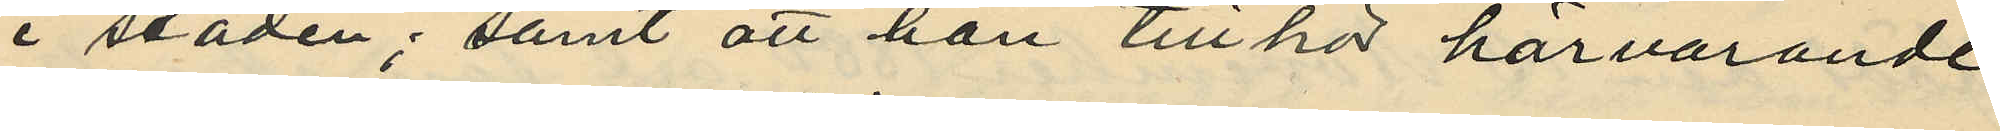i staden; samt att han tillhör härvarande
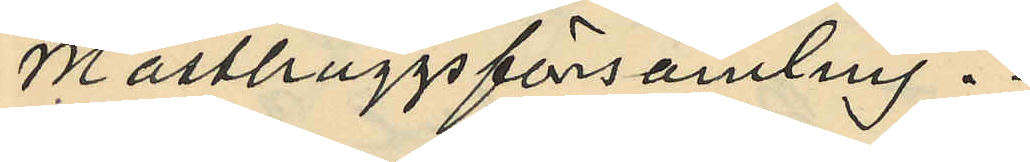Masthuggsförsamling.
